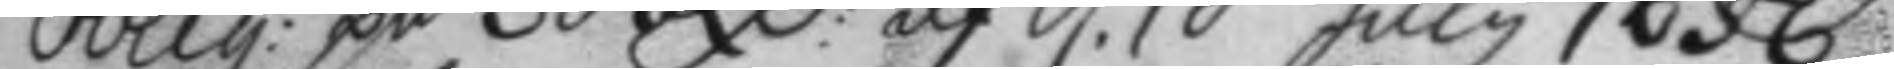oblig: på 30 RC: af d. 10 July 1656.
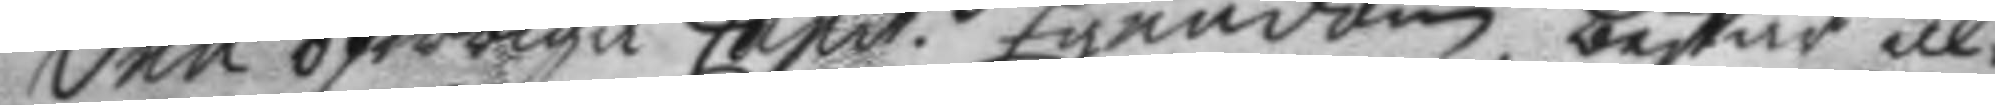den öfwriga Capit.s Egendom, består al¬
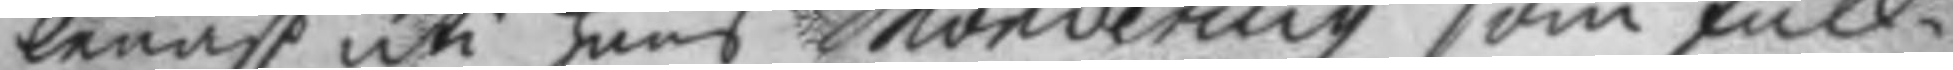lenast uti hans Mondering som full¬
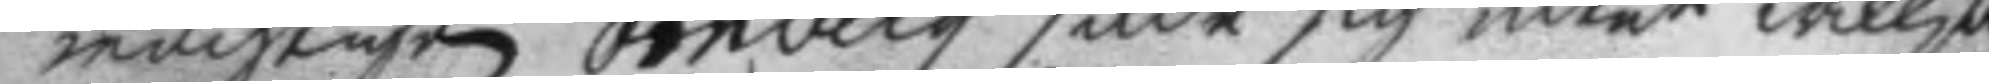mächtigen örnberg sade sig intet willja
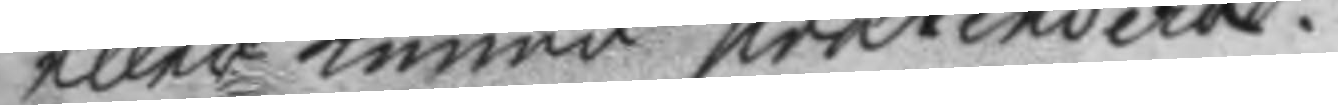eller kunna prætendera.
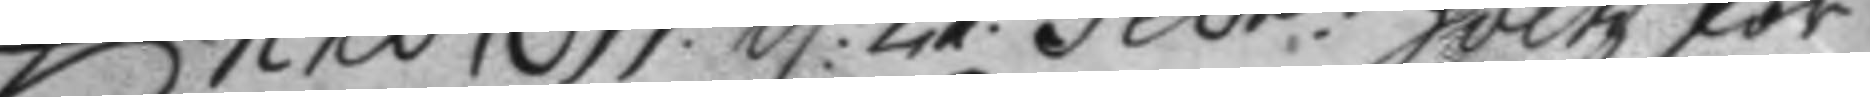Anno 1699. d. 27. Febr: höltz för¬
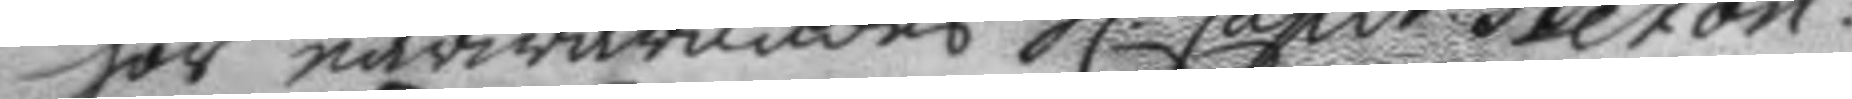hör närwarandes h. Capit. Beton.
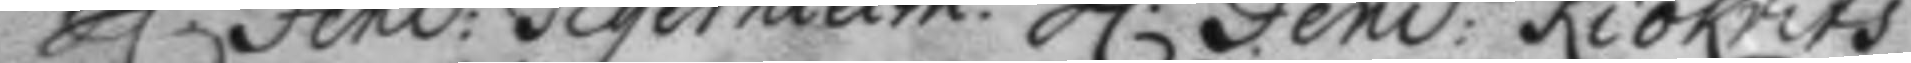h.r Fend: Tigerhielm. h. Fend: Kiökrits
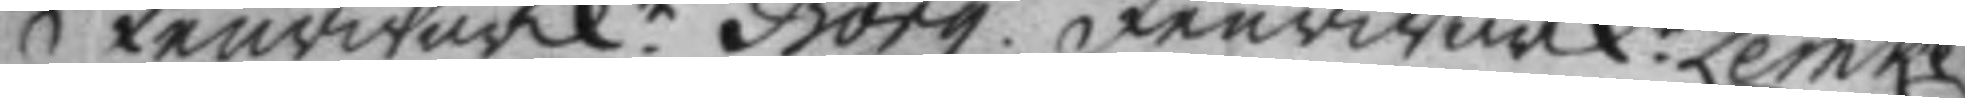feurwärk.n Borg. feurwärk.n Lemke.
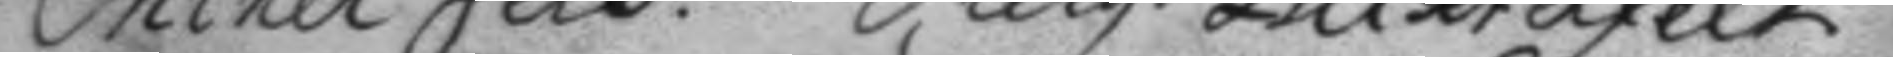Miner Jers. Serg. Blixterfelt.
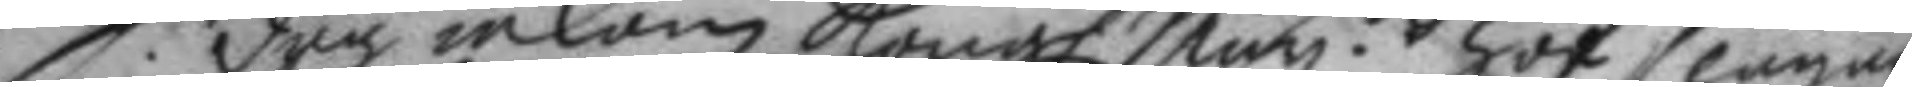S. dag inkom Kongl. May.ttz hof slagare
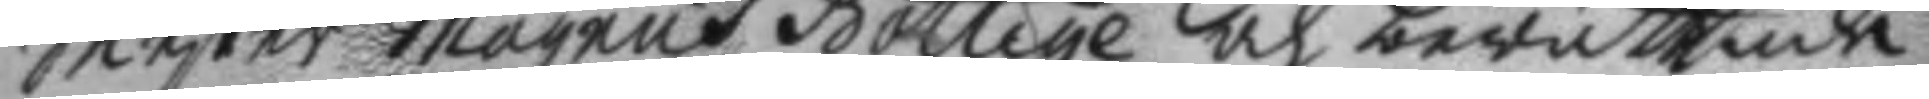Mester Magnus Böttige och berättade
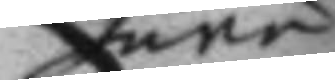huru
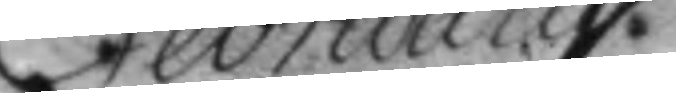Februarius
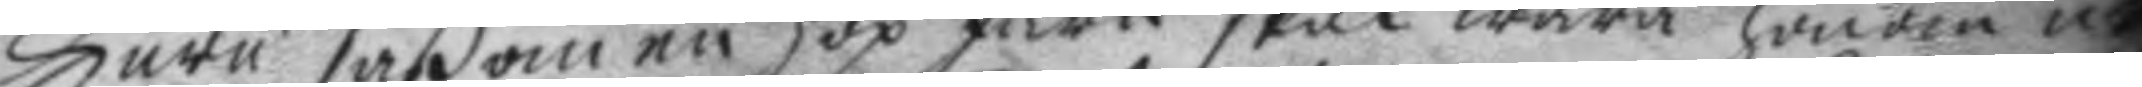huru såßom en hop Järn skal wara honom nå¬
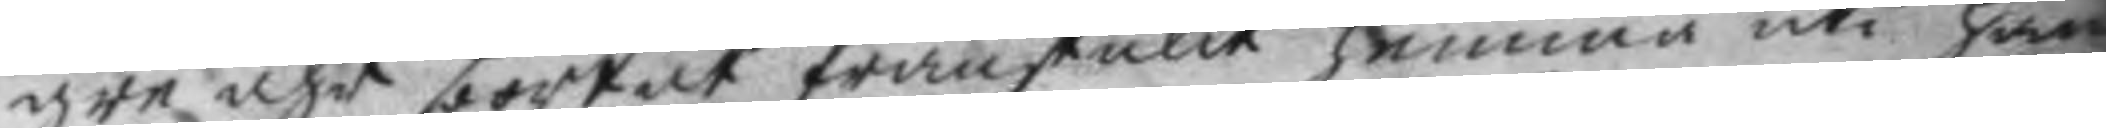gre åhr bortåt frånstulit hemma uti hans
